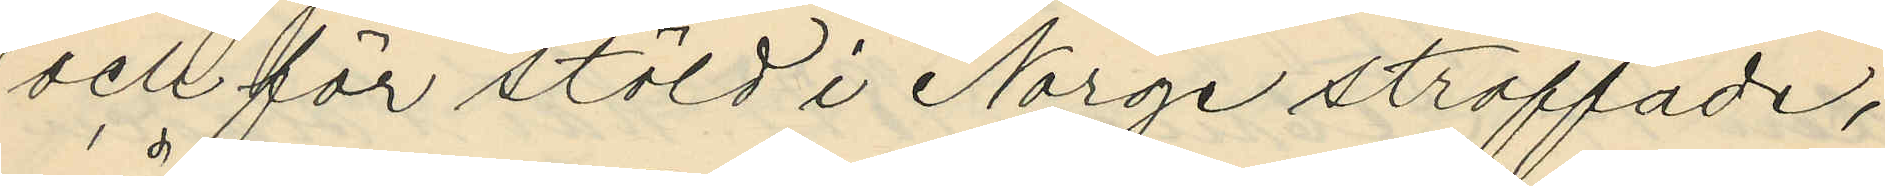och för stöld i Norge straffade,
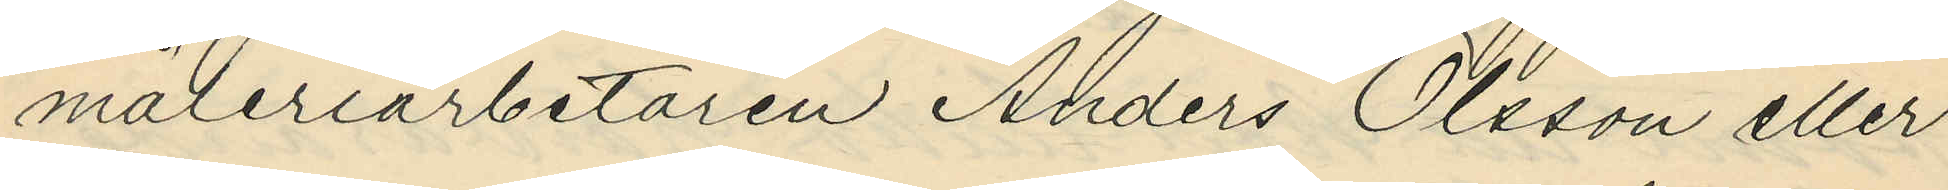måleriarbetaren Anders Olsson eller
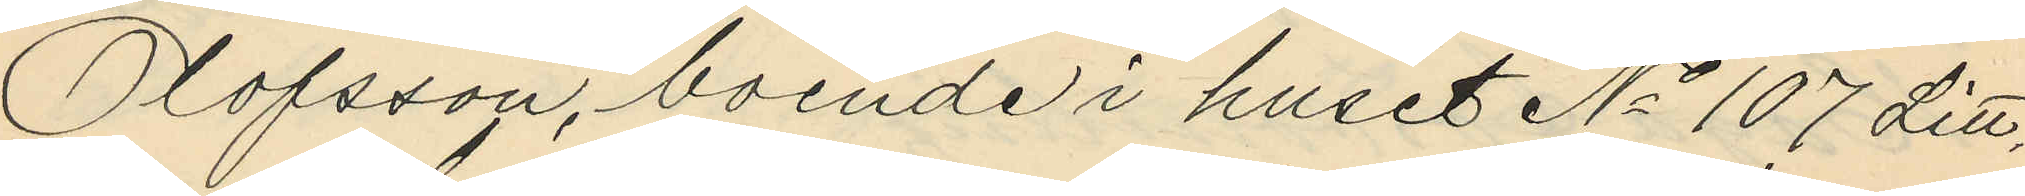Olofsson, boende i huset No 107 Litt.
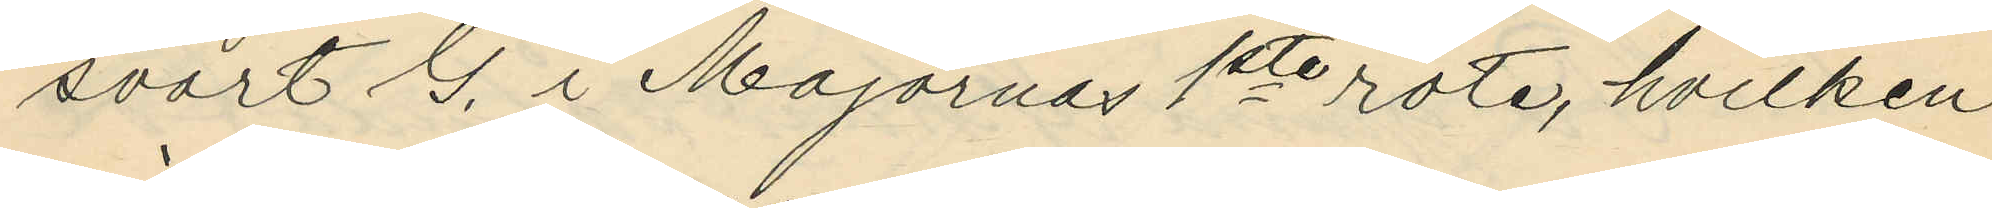svart G. i Majornas 1ste rote, hvilken
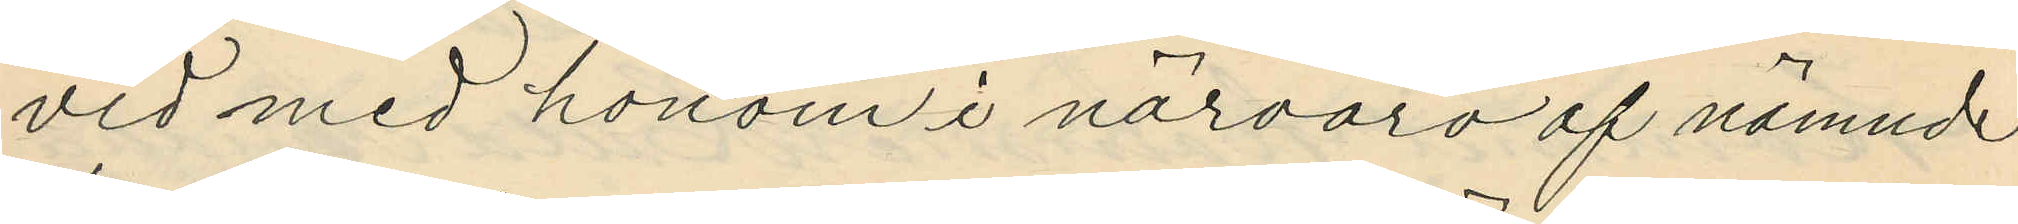vid med honom i närvaro af nämnde
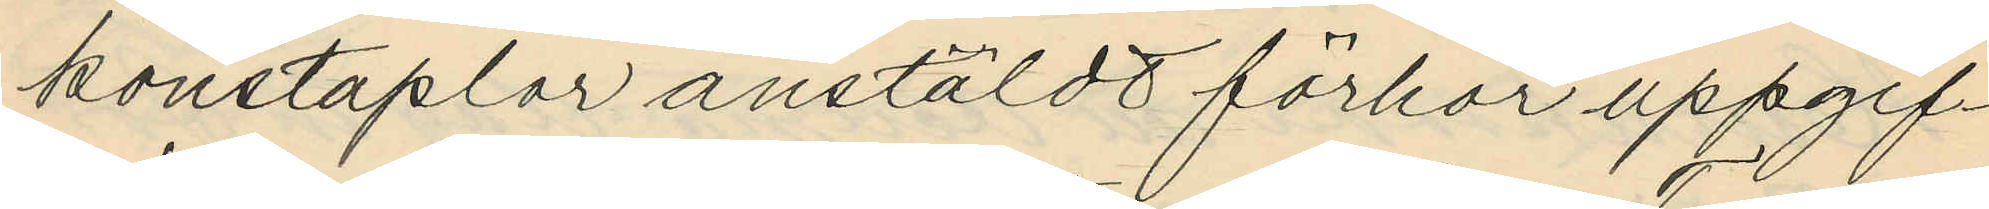konstaplar anstäldt förhör uppgif¬
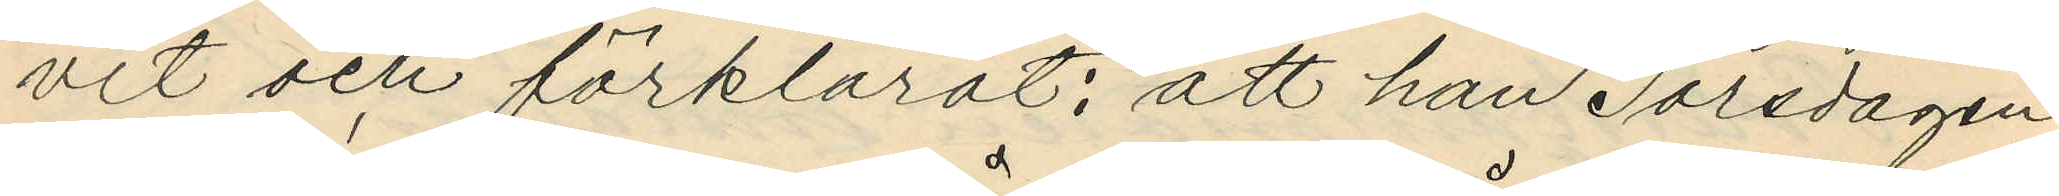vit och förklarat: att han Torsdagen
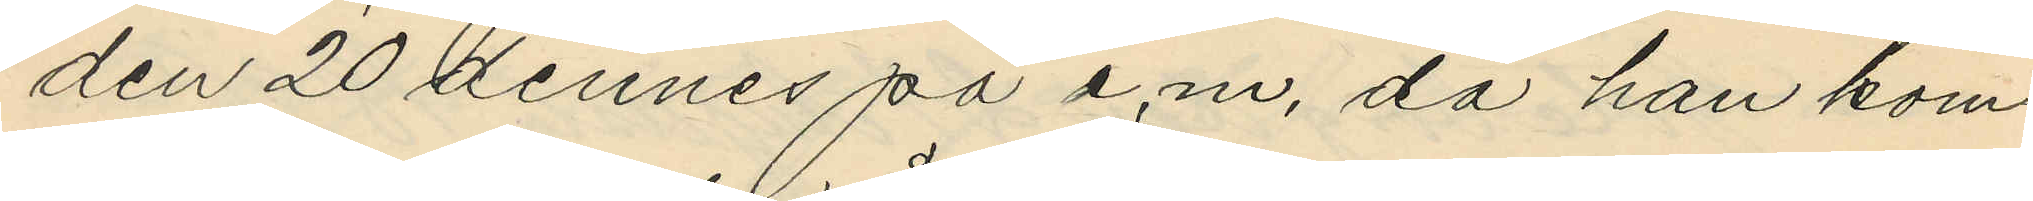den 20 dennes på e.m. då han kom¬
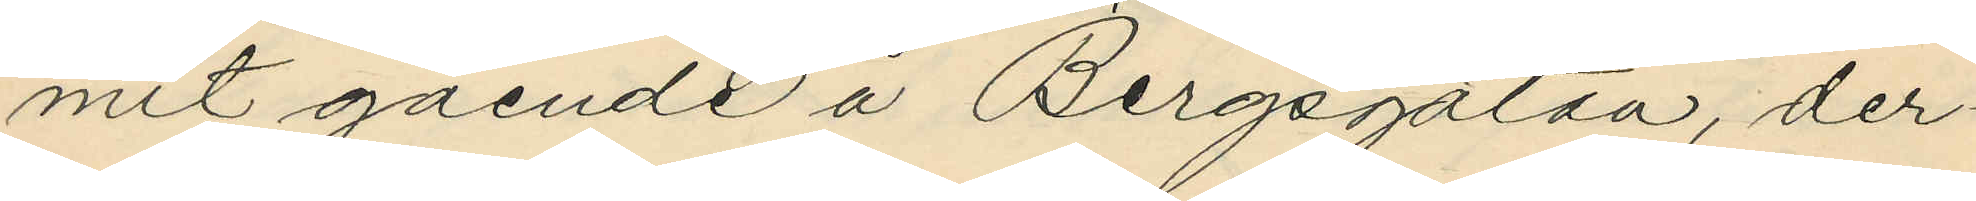mit gående å Bergsgatan, der¬
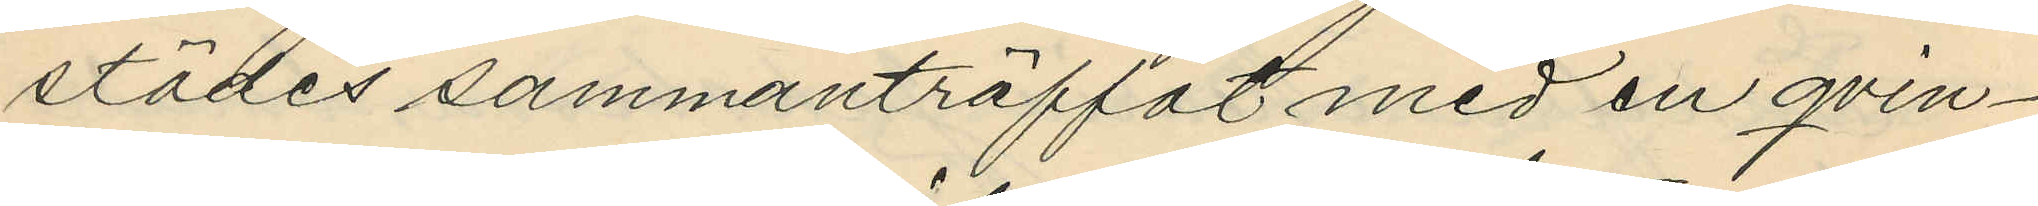städes sammanträffat med en qvin¬
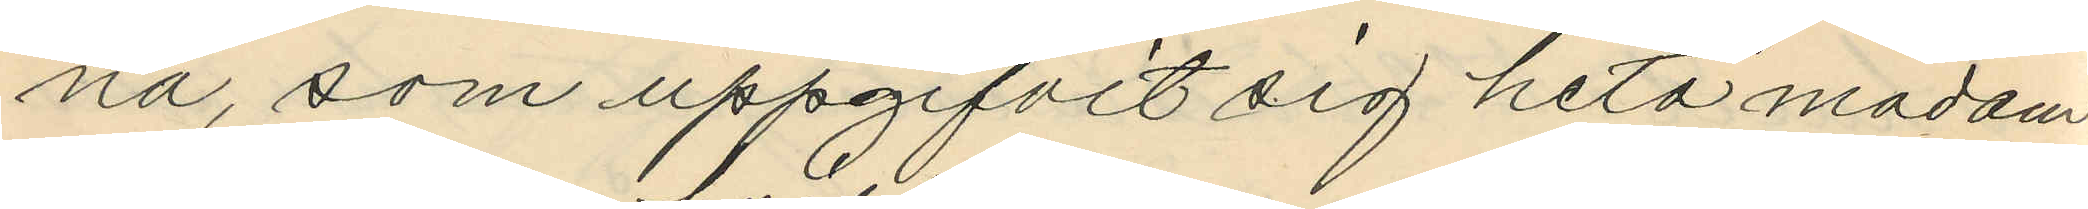na, som uppgifvit sig heta madam
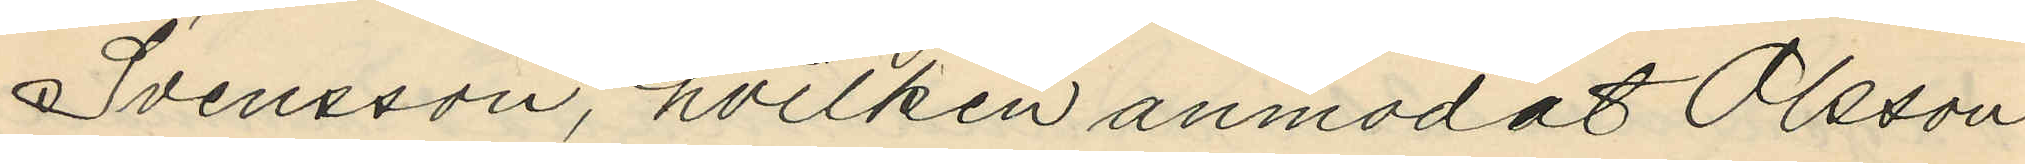Svensson, hvilken anmodat Olsson
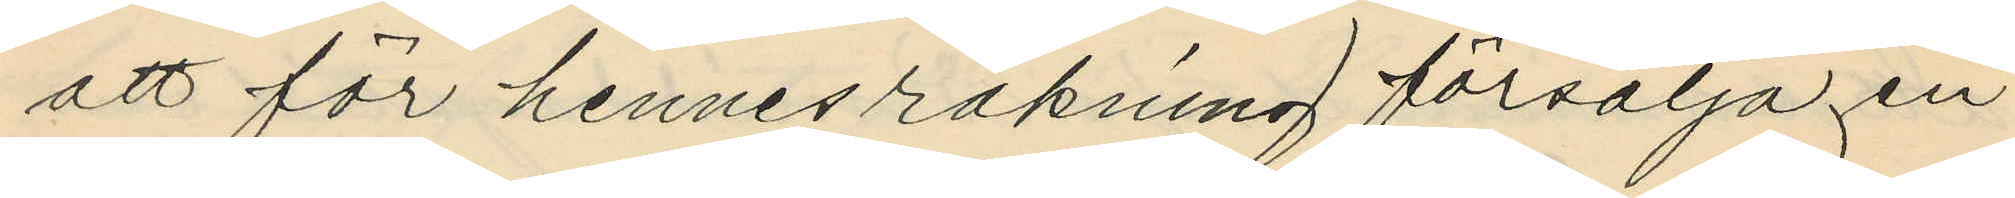att för hennes räkning försälja en
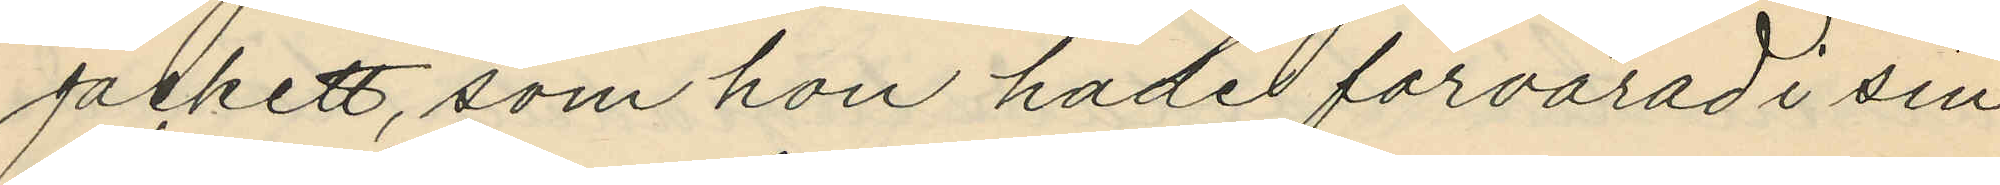jackett, som hon hade förvarad i sin
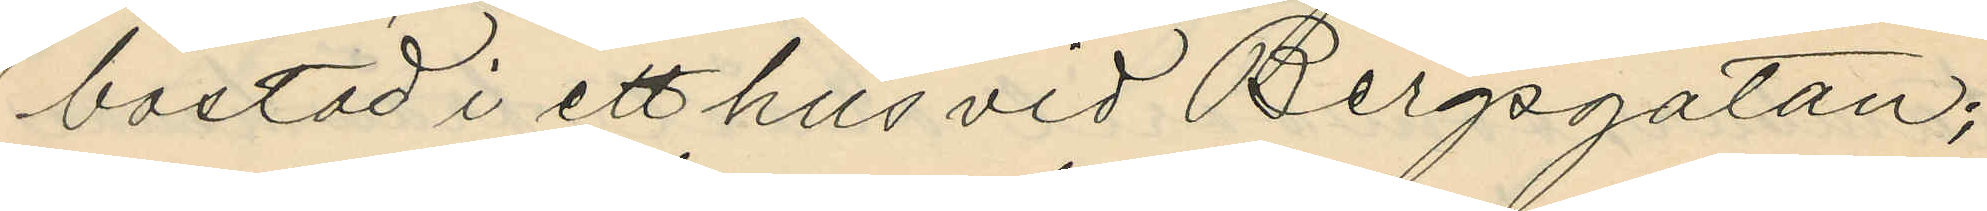bostad i ett hus vid Bergsgatan;
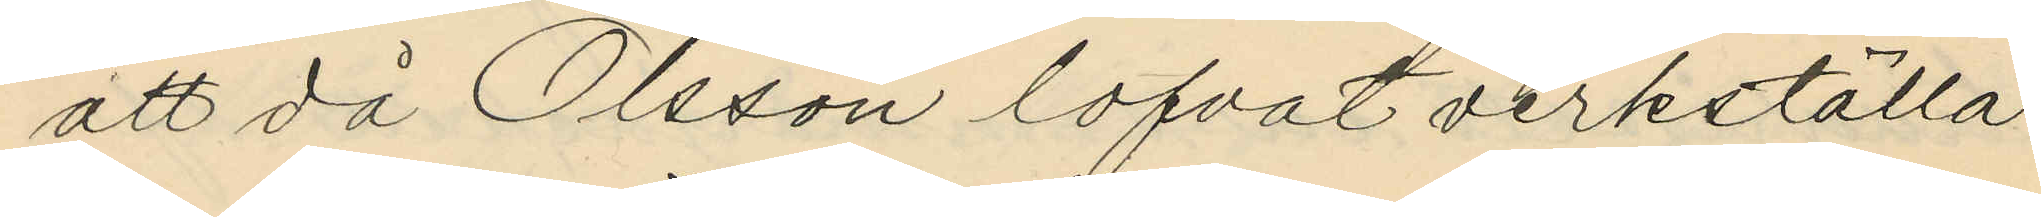att då Olsson lofvat verkställa
